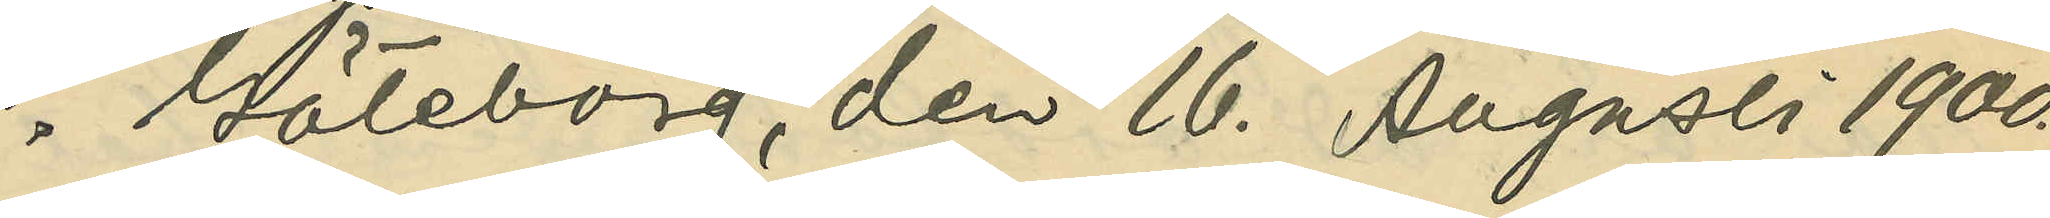Göteborg den 16. Augusti 1900.
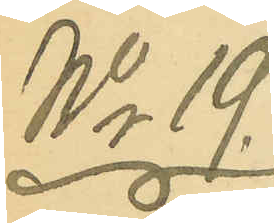No 19.
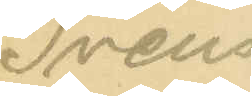Svens¬
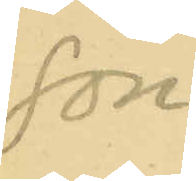son.
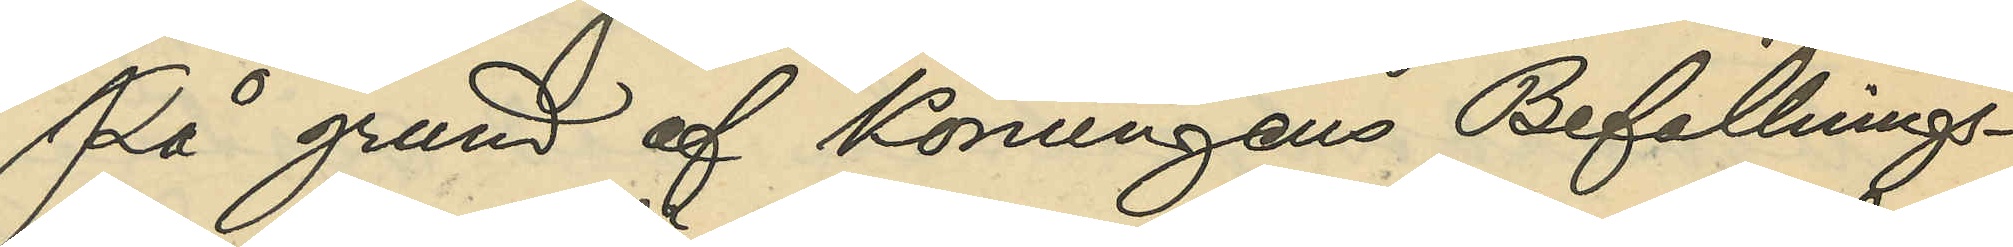På grund af Konungens Befallnings¬
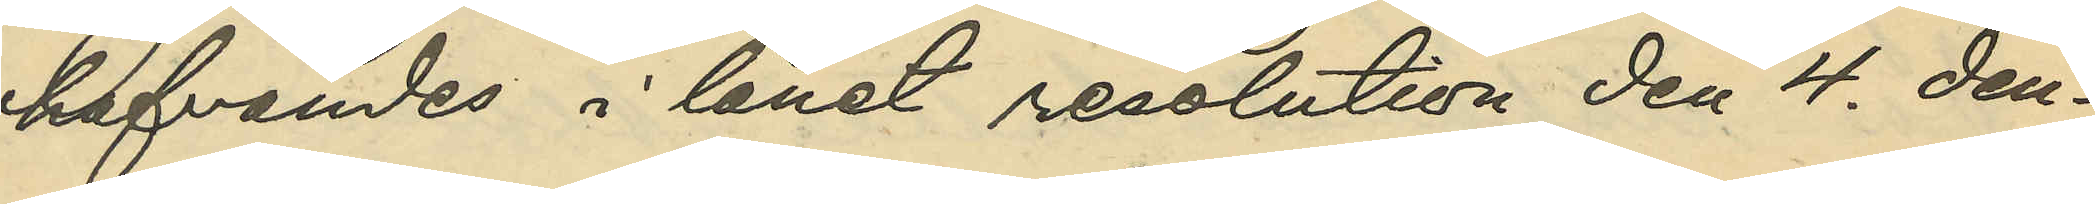hafvandes i länet resolution den 4. den¬
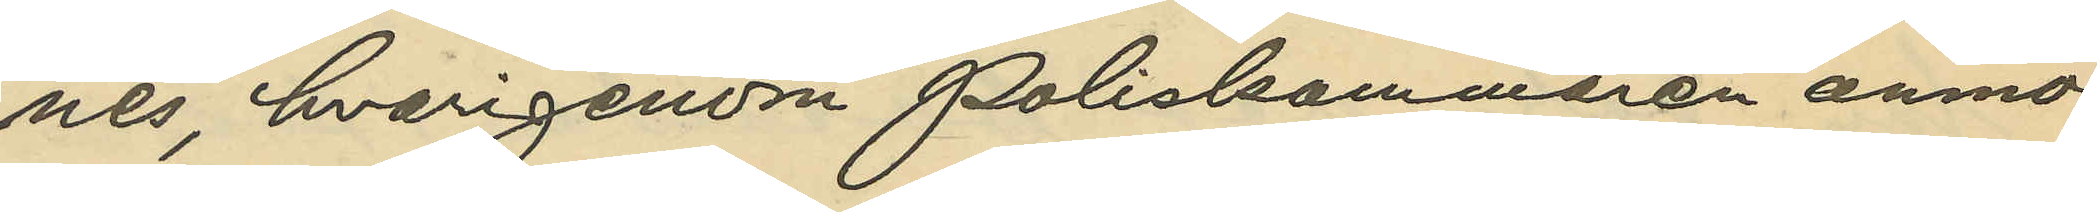nes, hvarigenom Poliskammaren anmo¬
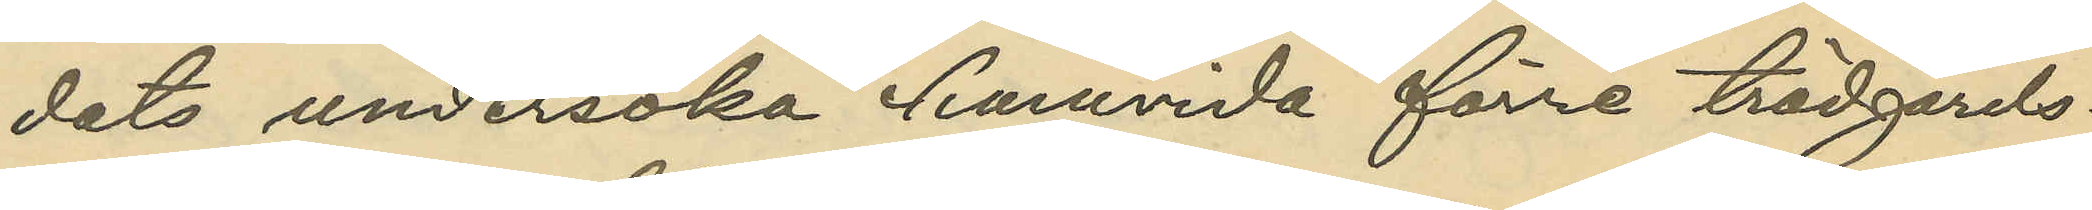dats undersöka hurvida förre trädgårds¬
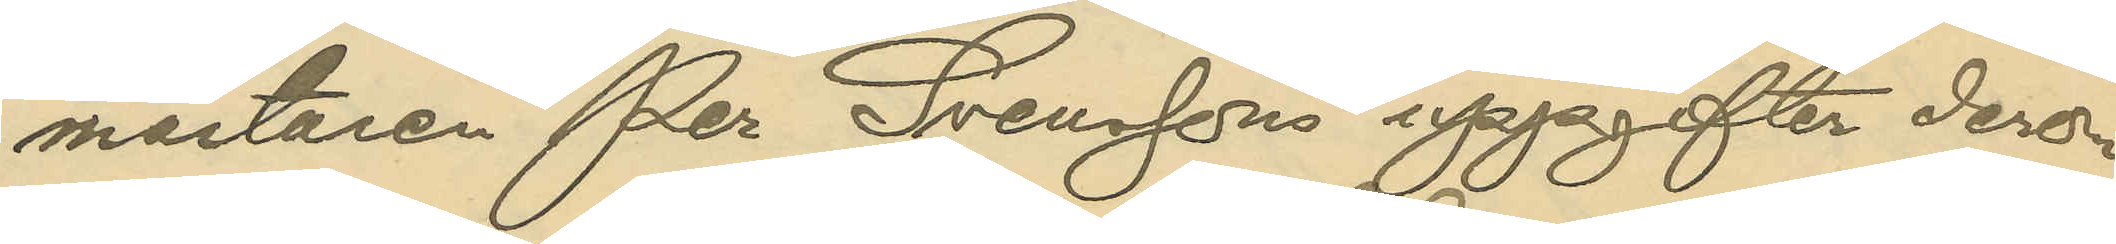mästaren Per Svenssons uppgifter derom
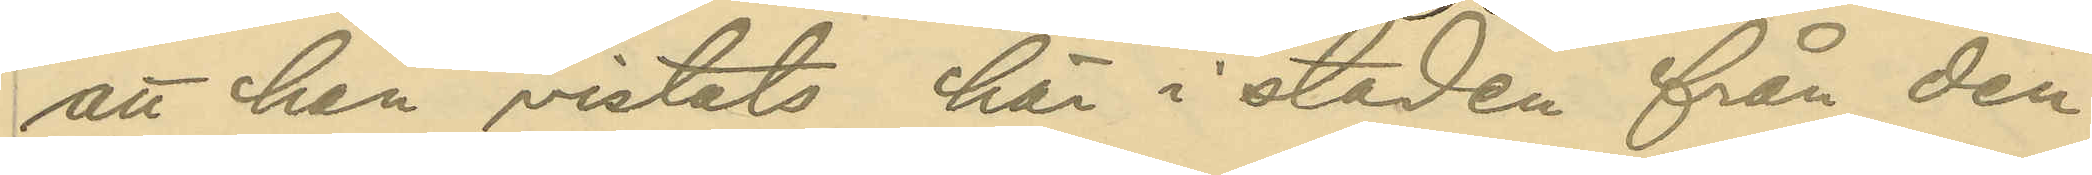att han vistats här i staden från den
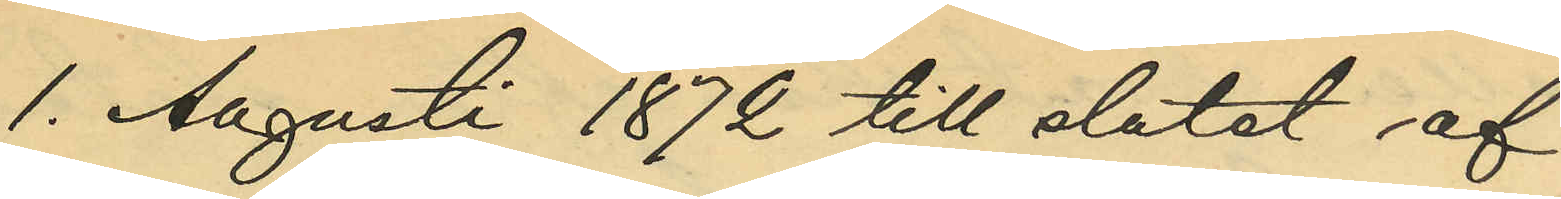1. Augusti 1872 till slutet af
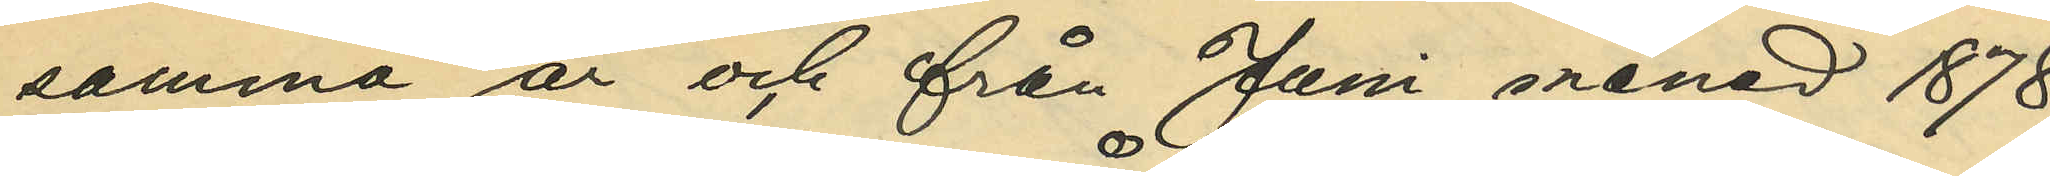samma år och från Juni månad 1878
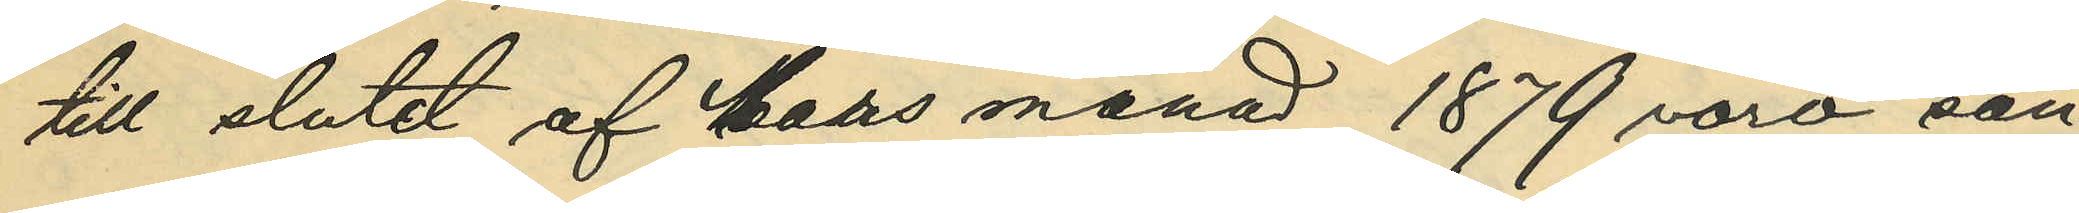till slutet af Mars månad 1879 voro san¬
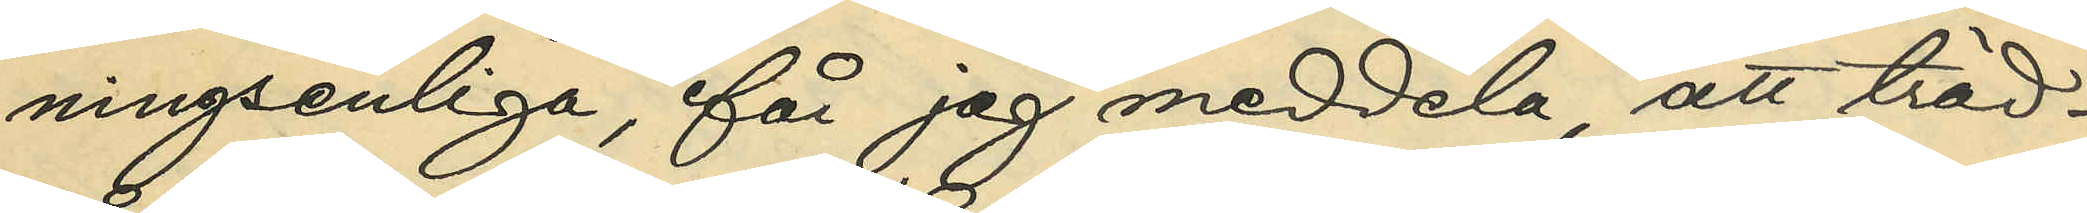ningsenliga, får jag meddela, att träd¬
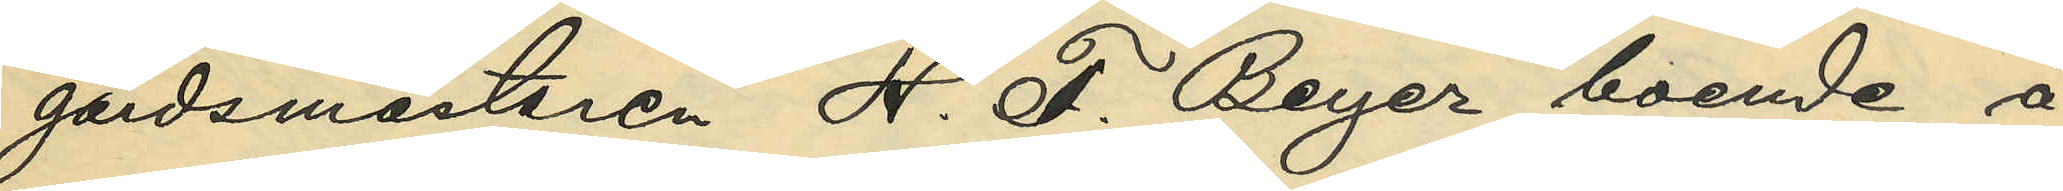gårdsmästaren H. F. Beyer, boende å
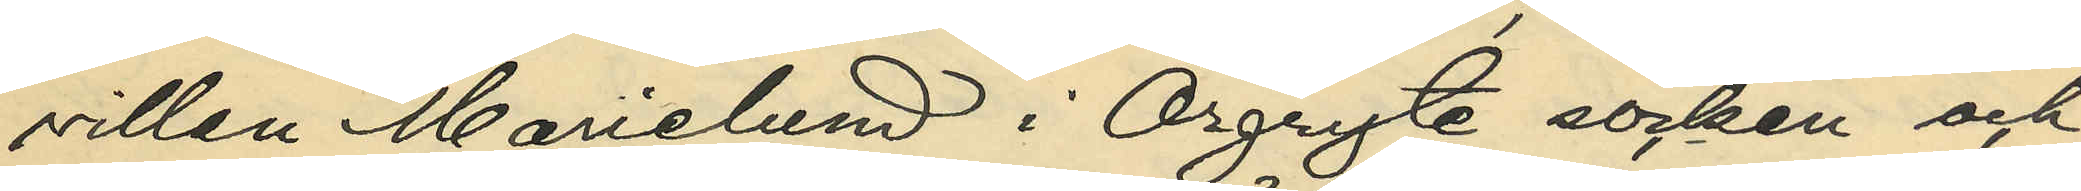villan Marielund i Örgryte socken och
